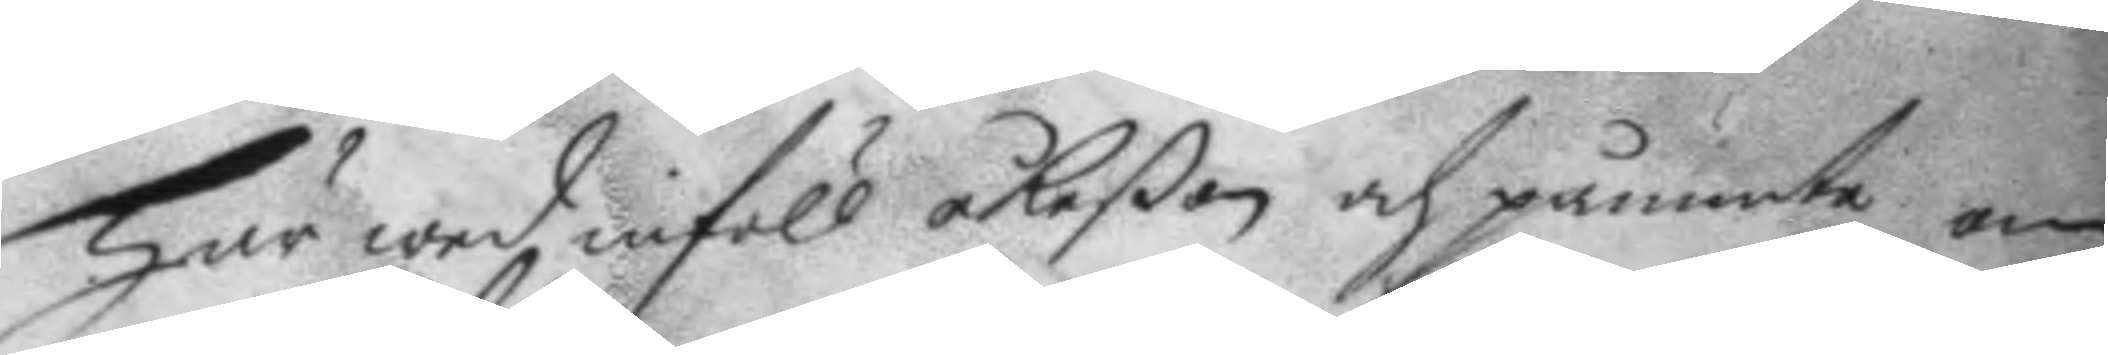Här wed inföll åkeßon och påminte om
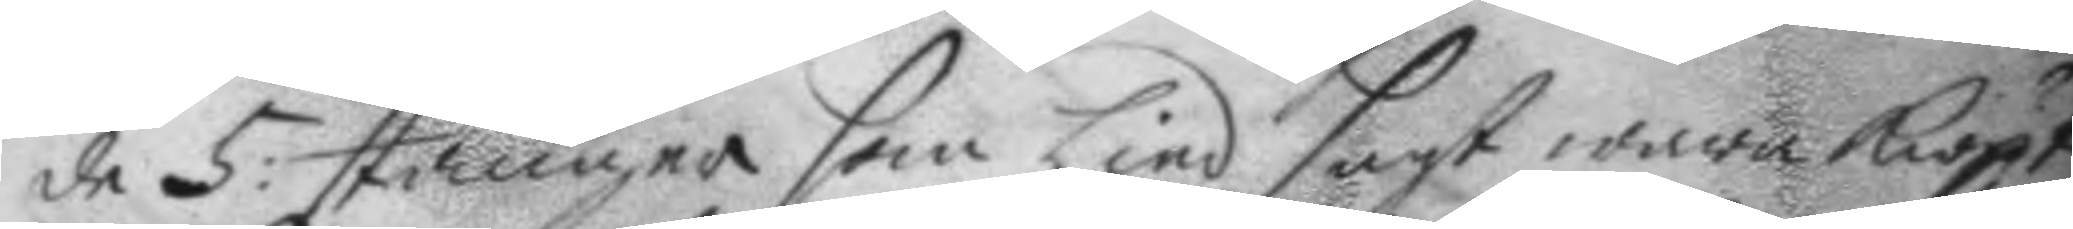de 5: stänger som Lind sagt wara kiöpt
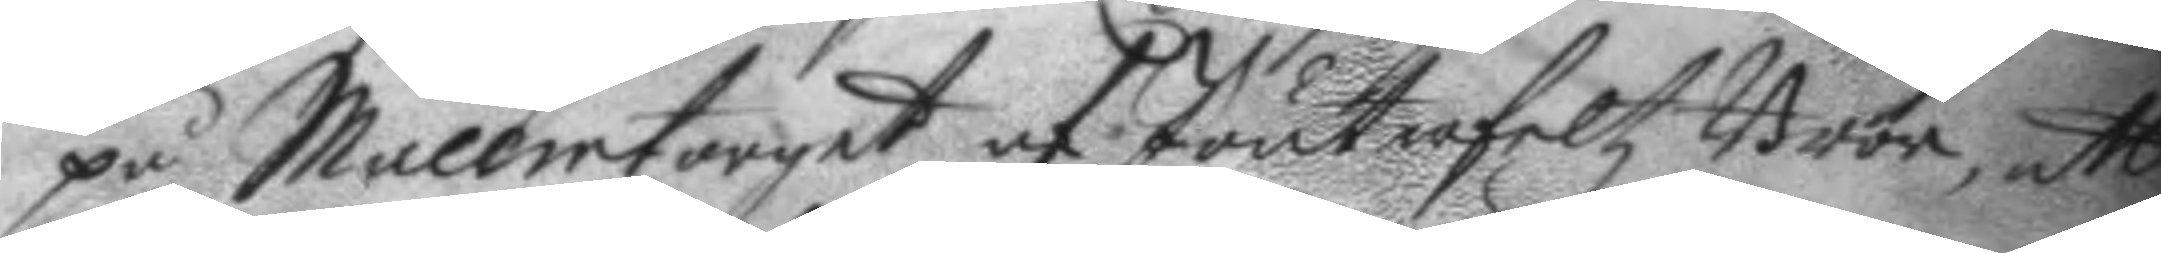på Mallmtorget af Joutrafeltz Bror, att
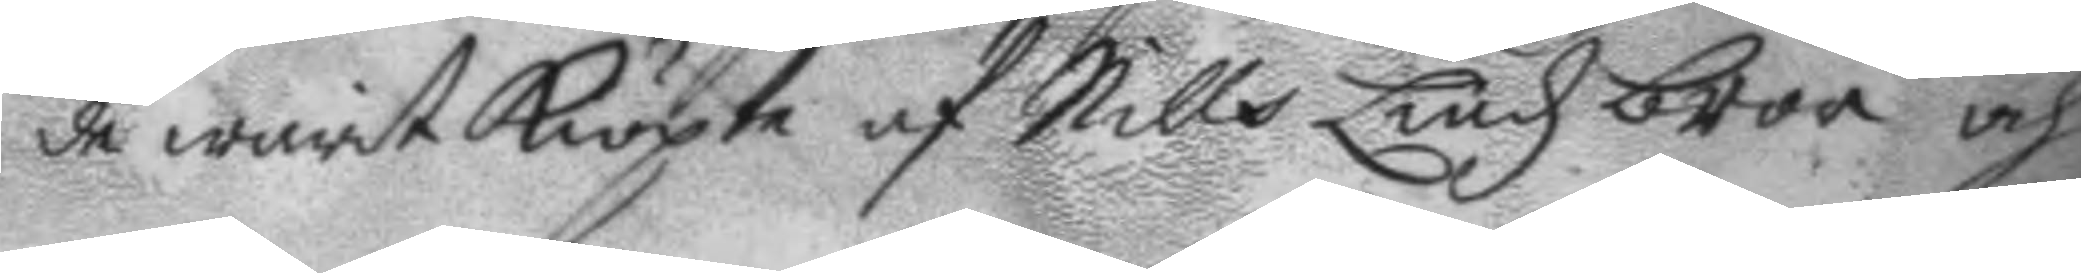de warit kiöpte af Nills Lindz bror och
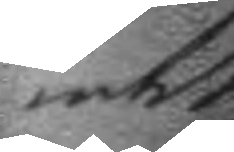intet
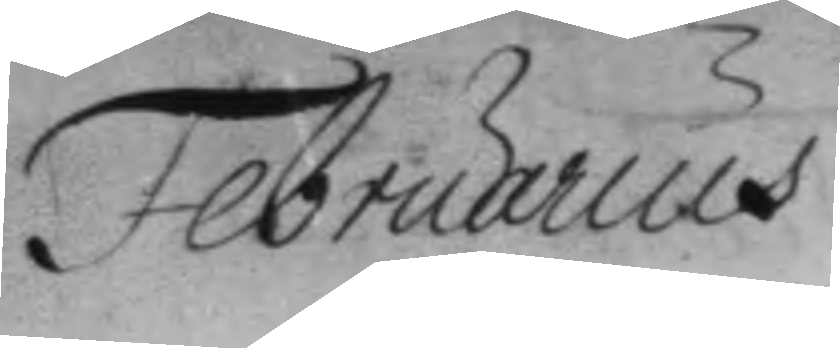Februarius	
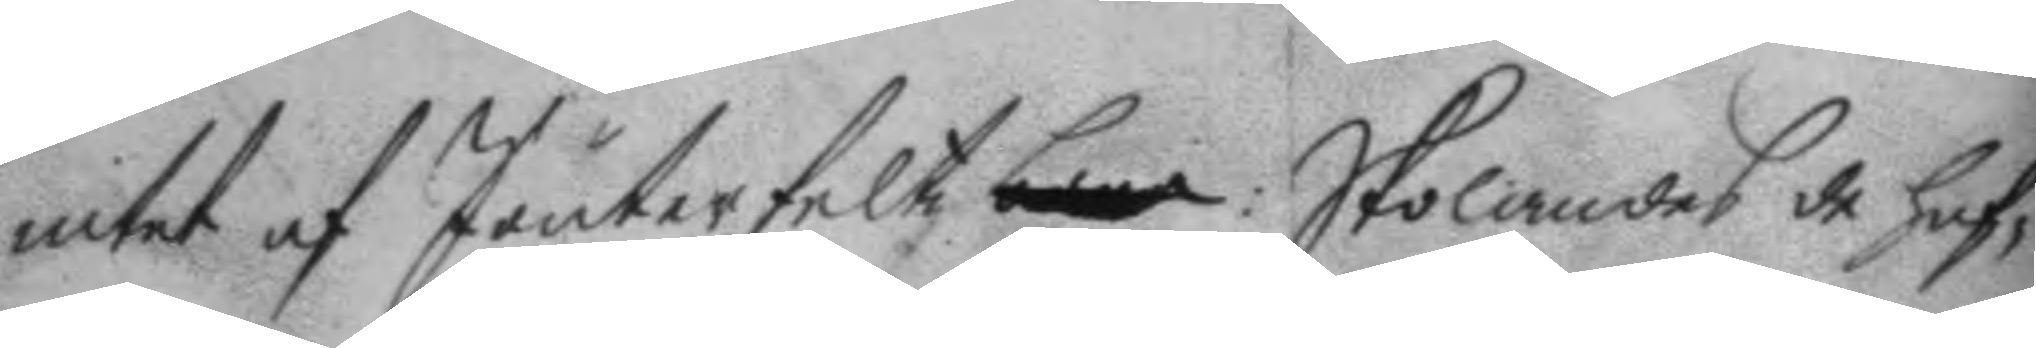intet af Jouyerfeltz bror: Skolandes de haf¬
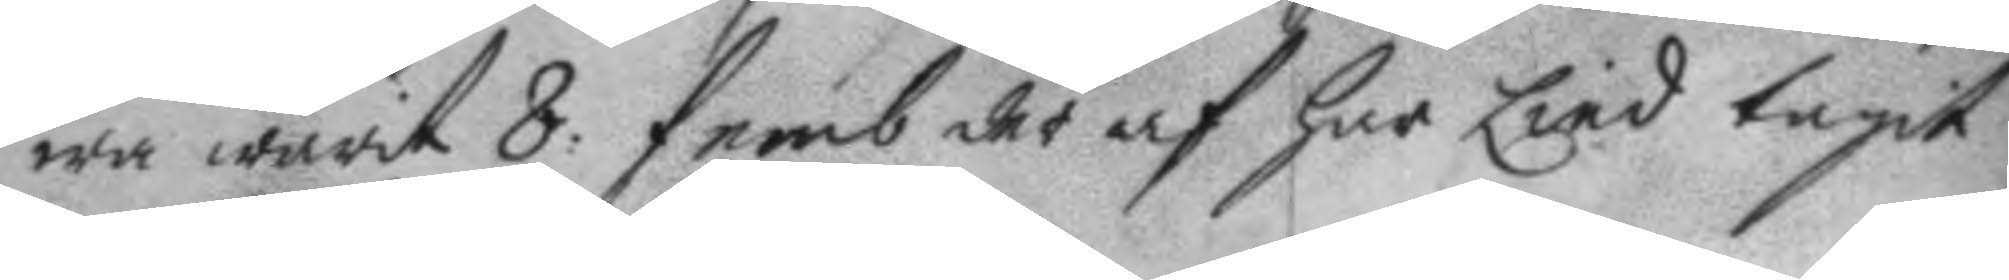wa warit 8. femb der af har Lind tagit
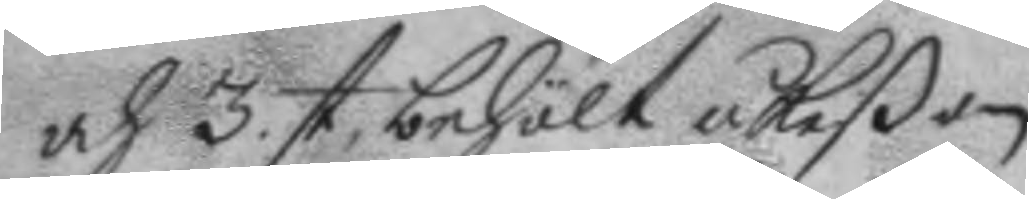och 3. st. behölt åkeßom.
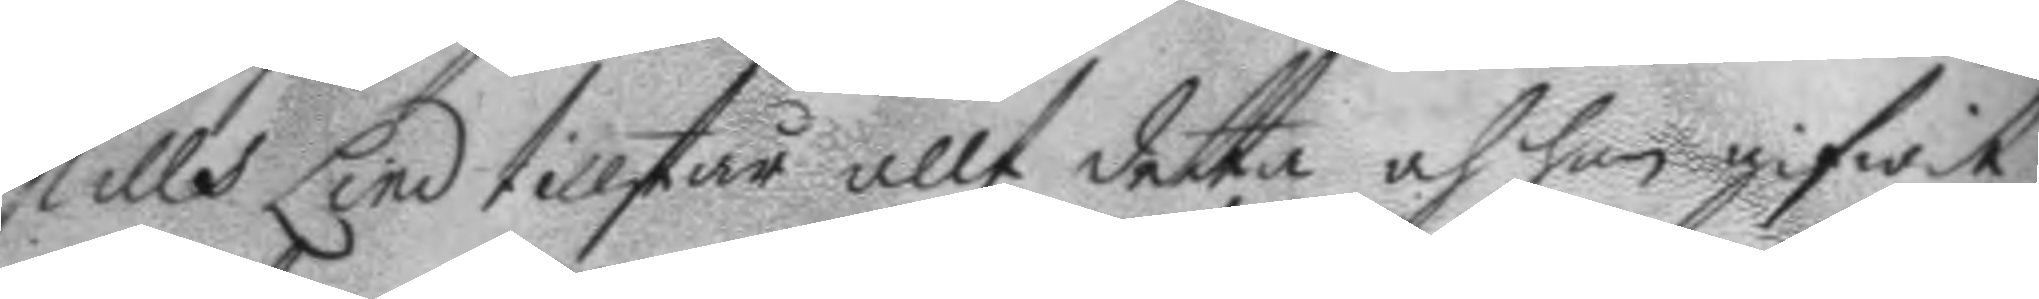Nills Lind tillstår allt detta och han gifwit
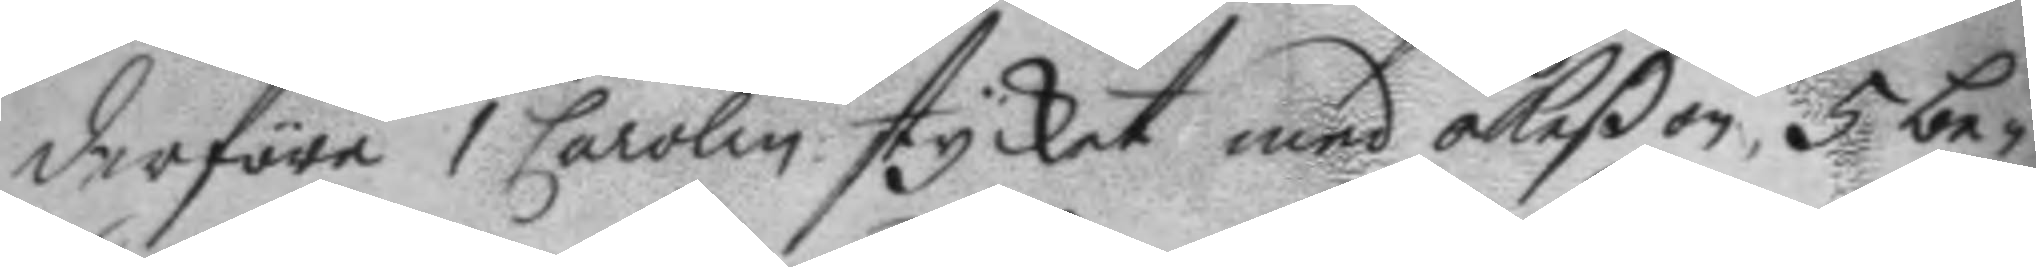derföre 1 Carolin stycket med åkeßon, 5 be¬
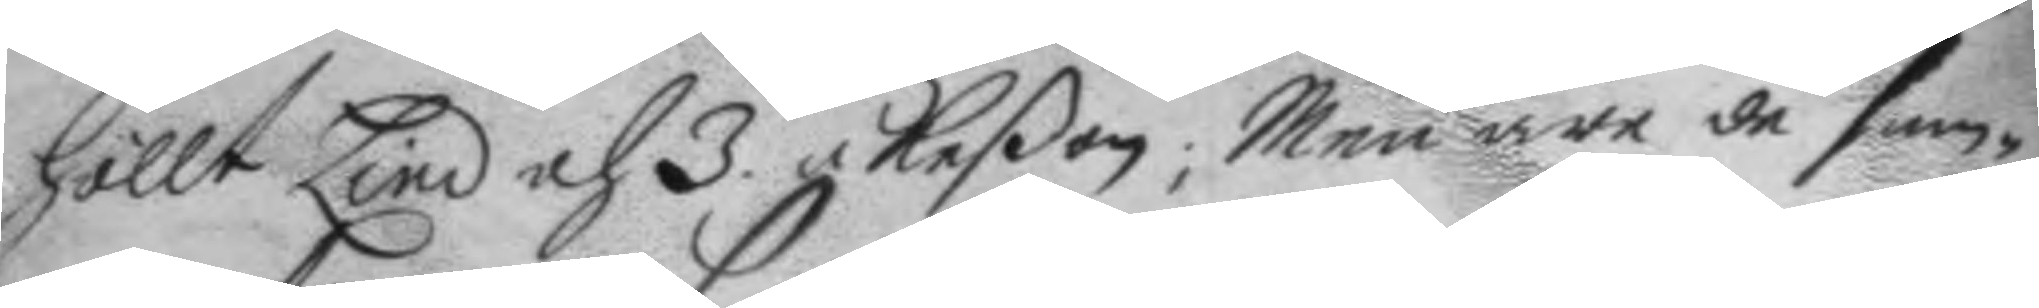höllt Lind och 3. åkeßon; Men när de sam¬
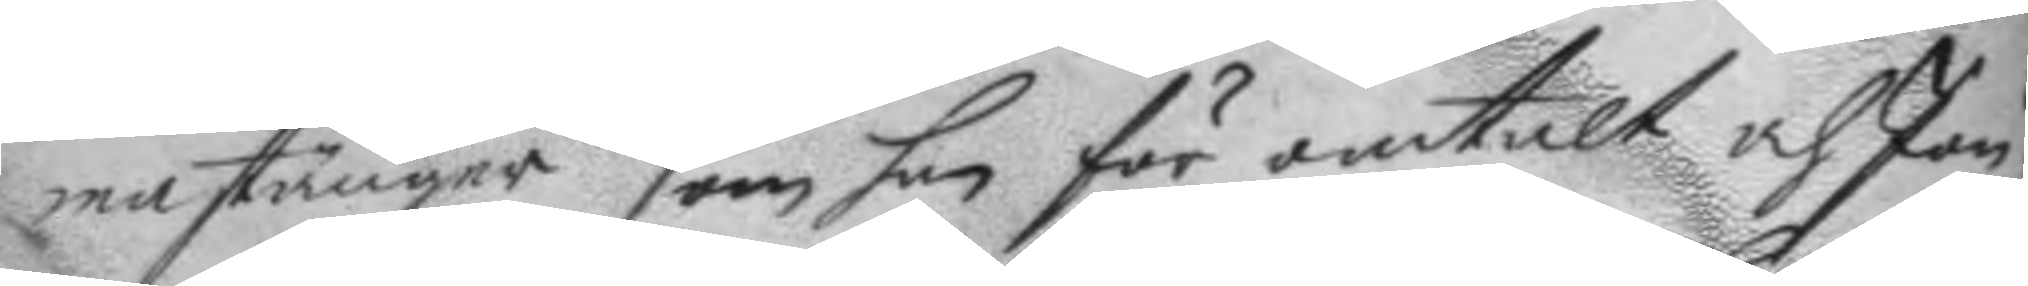ma stänger som han för omtalt och Jou¬
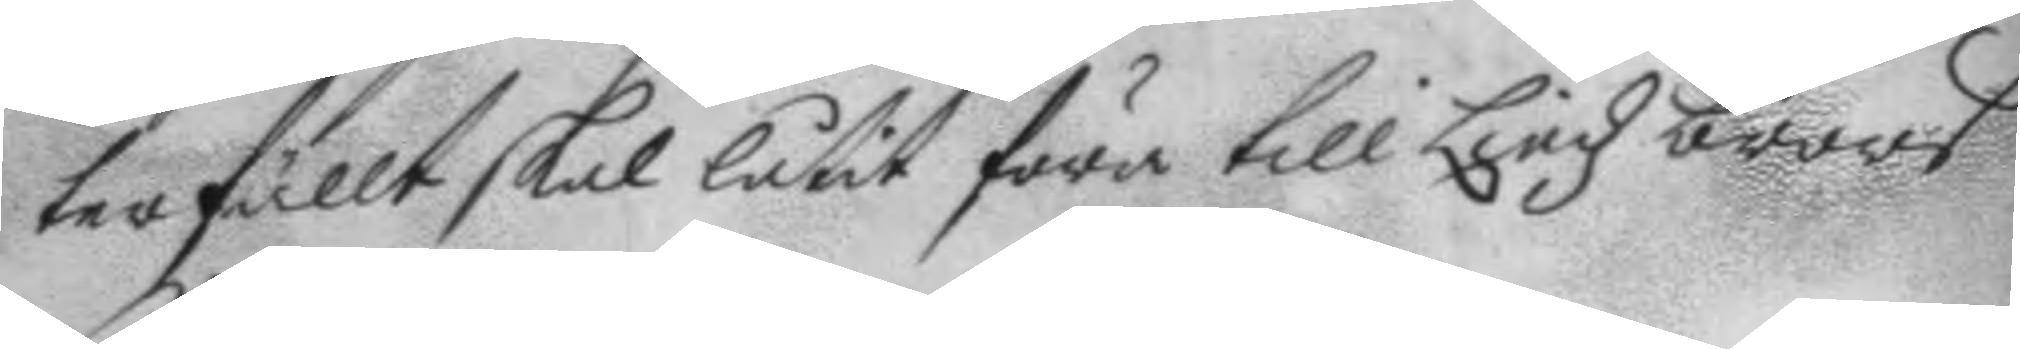terfällt skal låtit föra till Lindz brors
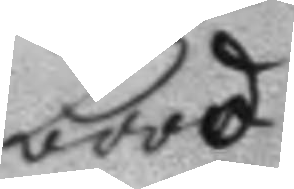bood.
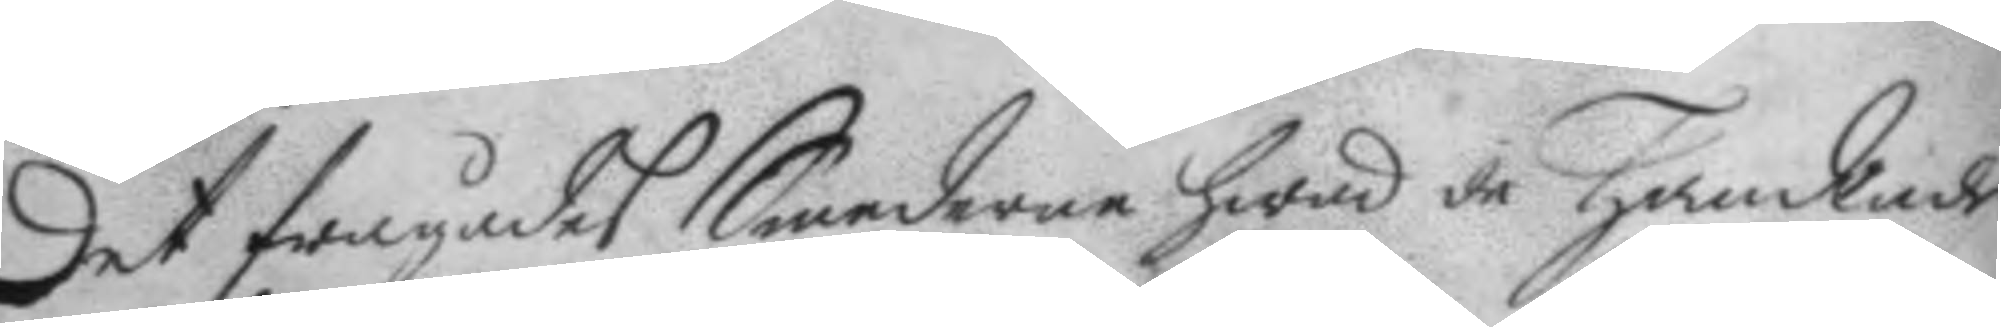Det frågades Smederne hwad de handlade
